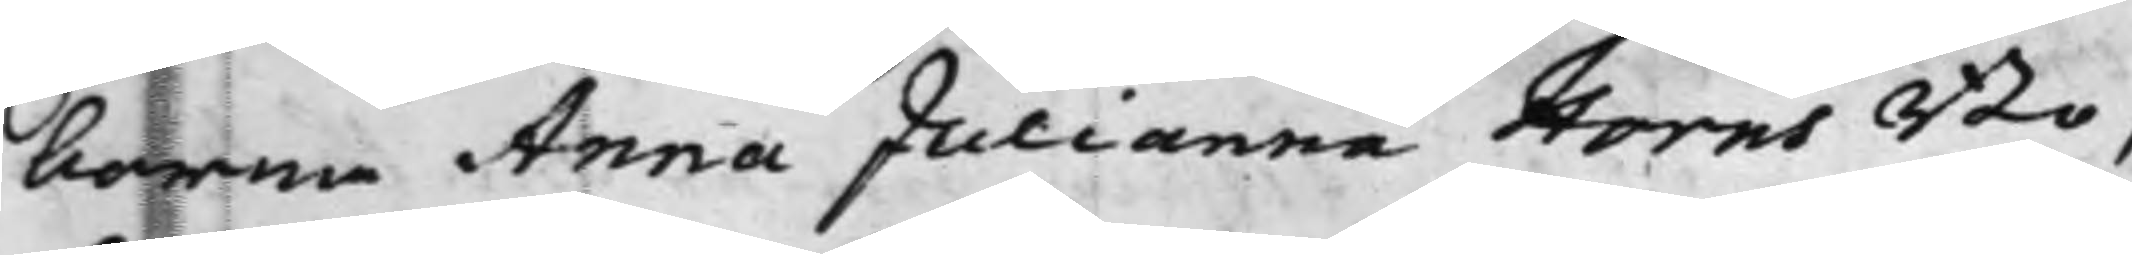borna Anna Julianna Horns Bo,
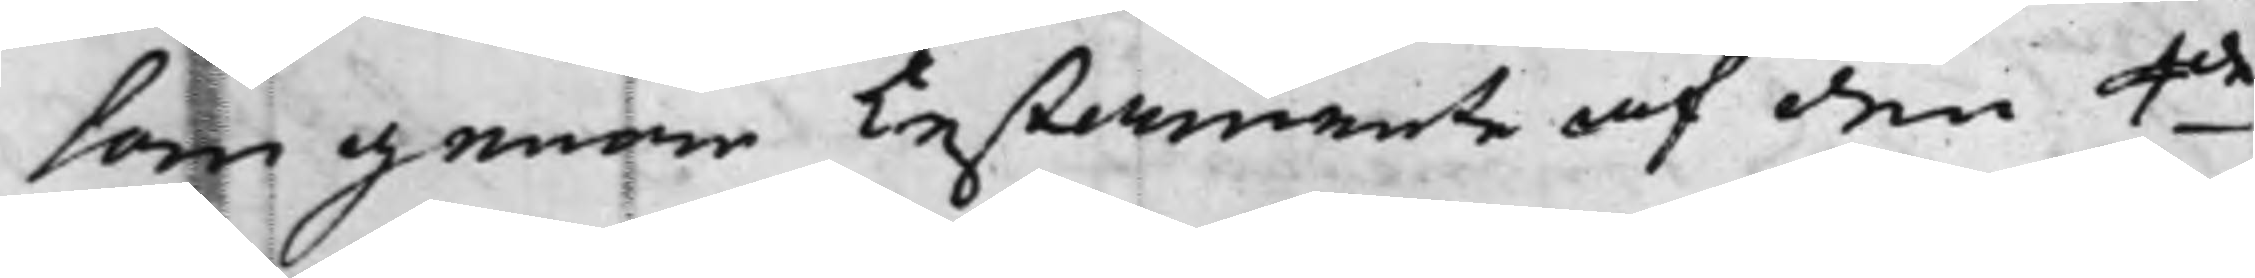som genom Testamente af den 4de
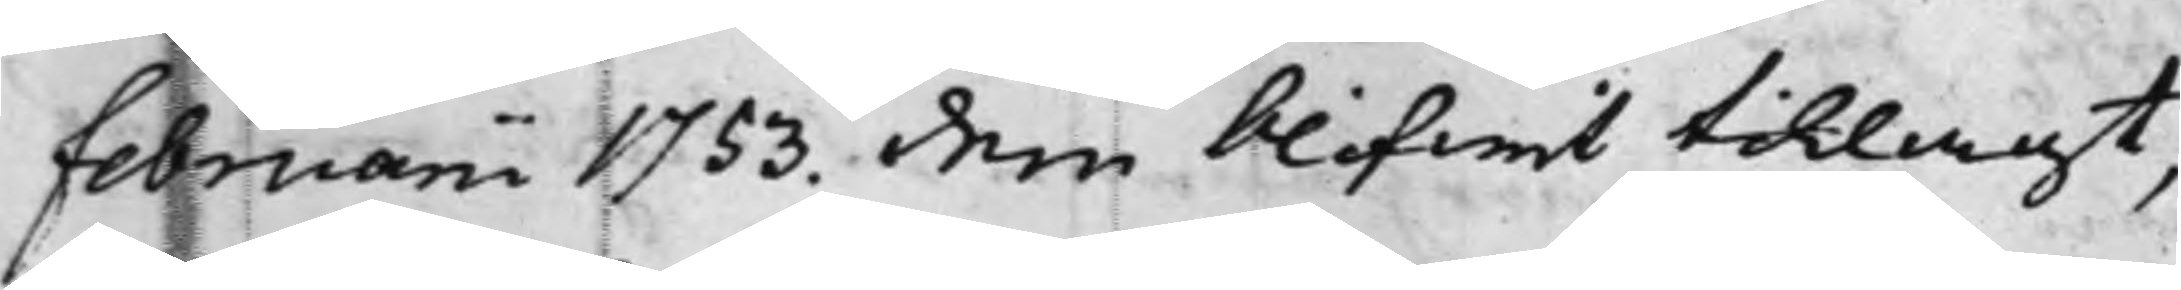Februarii 1753. dem blifwit tillagt,
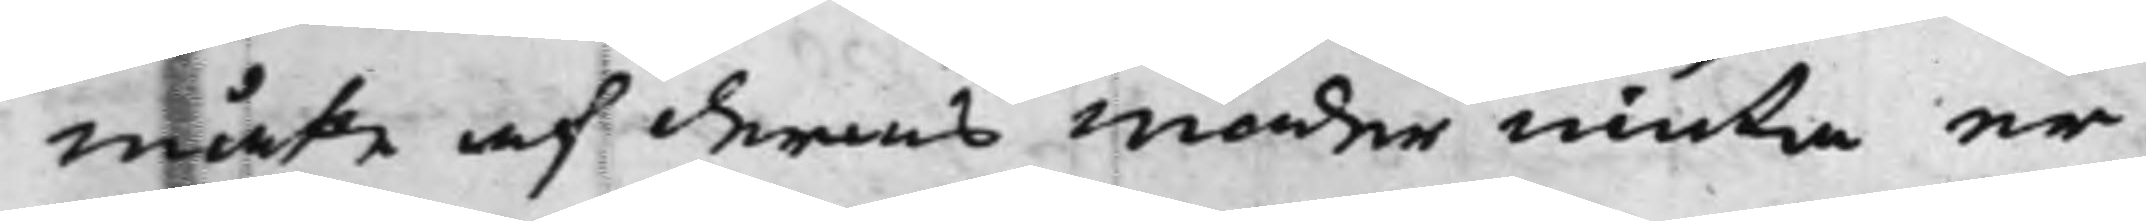måte af deras moder niuta er¬
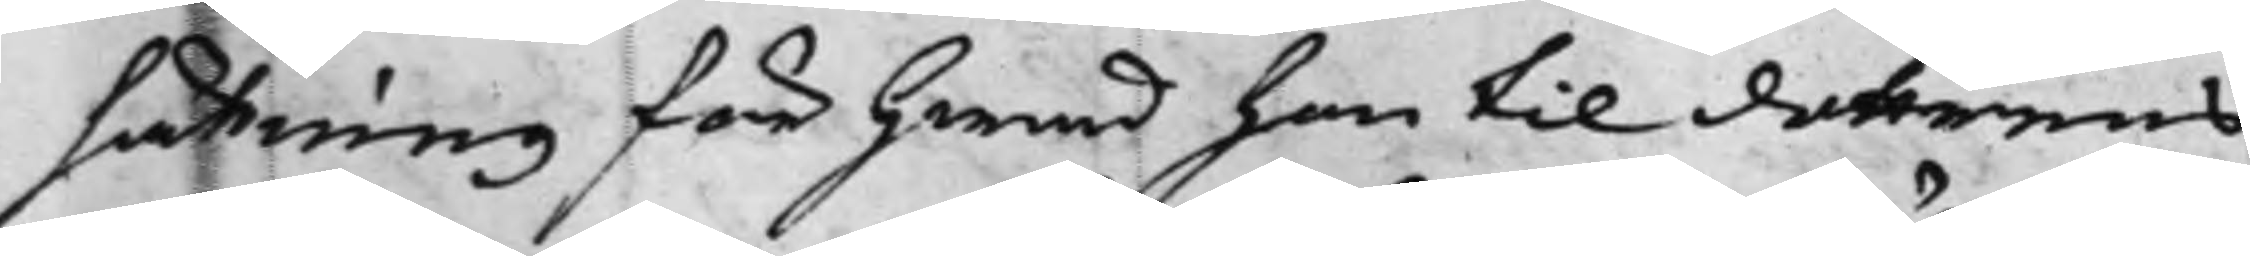sättning för hwad han til dottrens
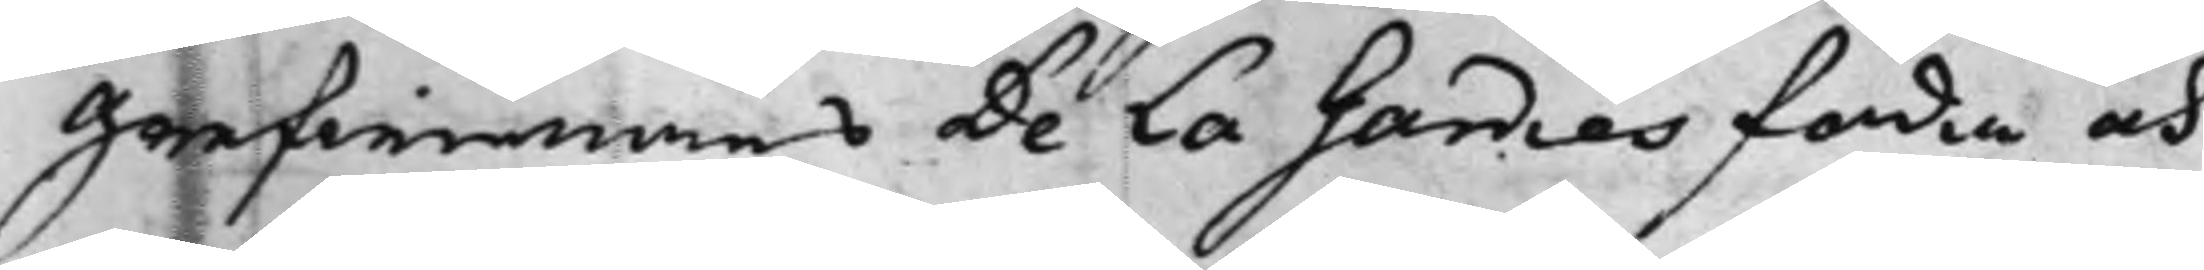Grefwinnans De La Gardies föda och
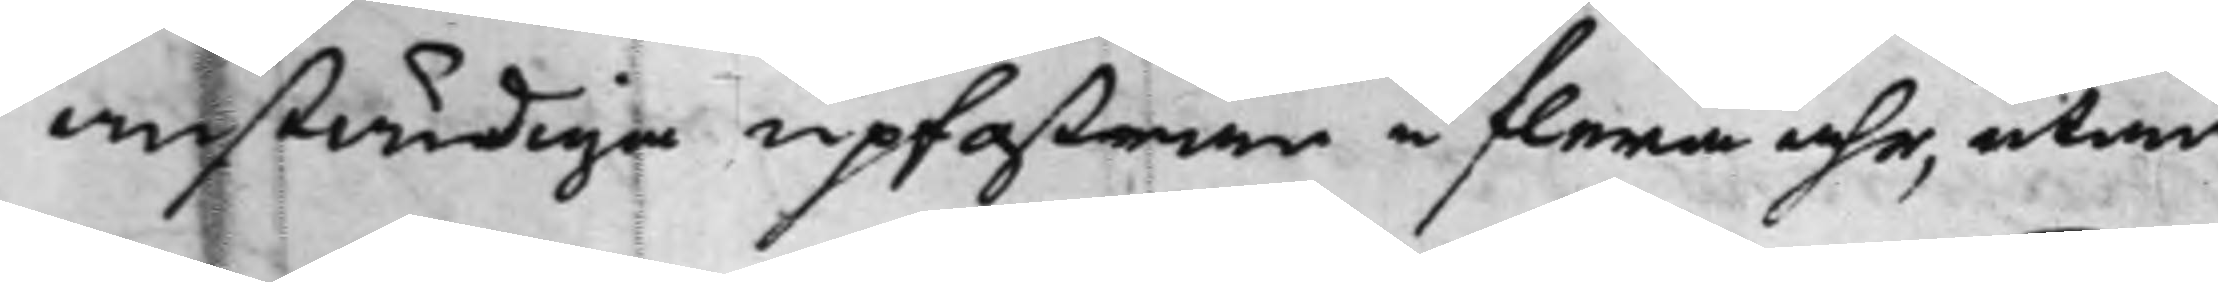anständiga upfostran i flera åhr, utan
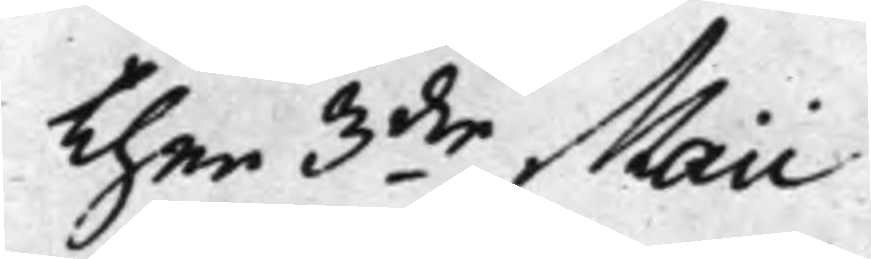Then 3die Maii
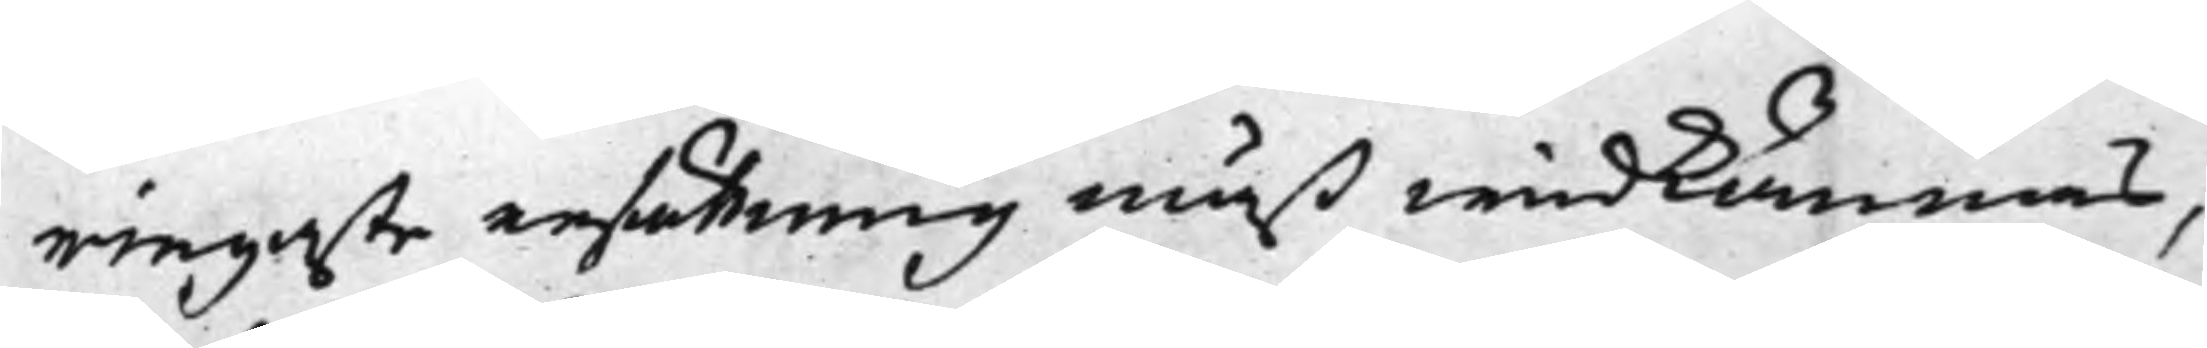ringaste ersättning måst widkännas,
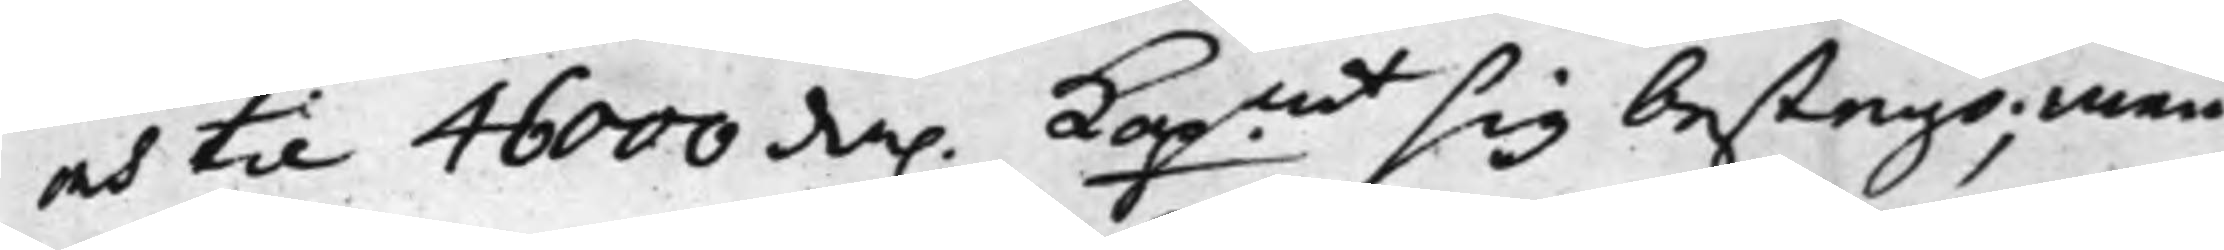och til 46000 da. Kopmt sig bestego; men
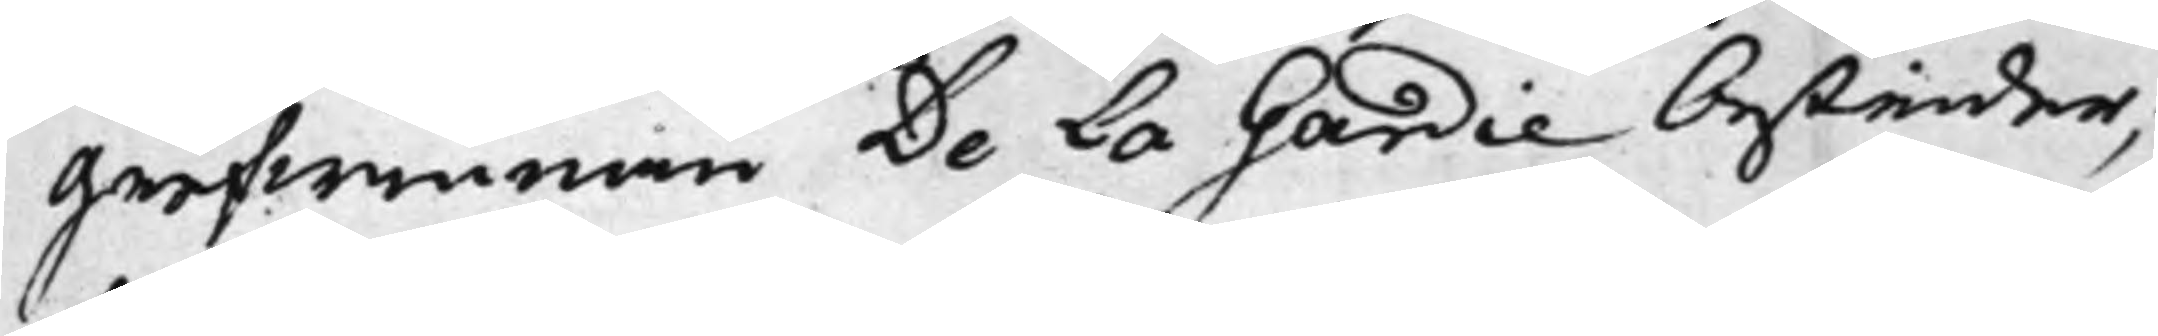Grefwinnan De La Gardie bestrider;
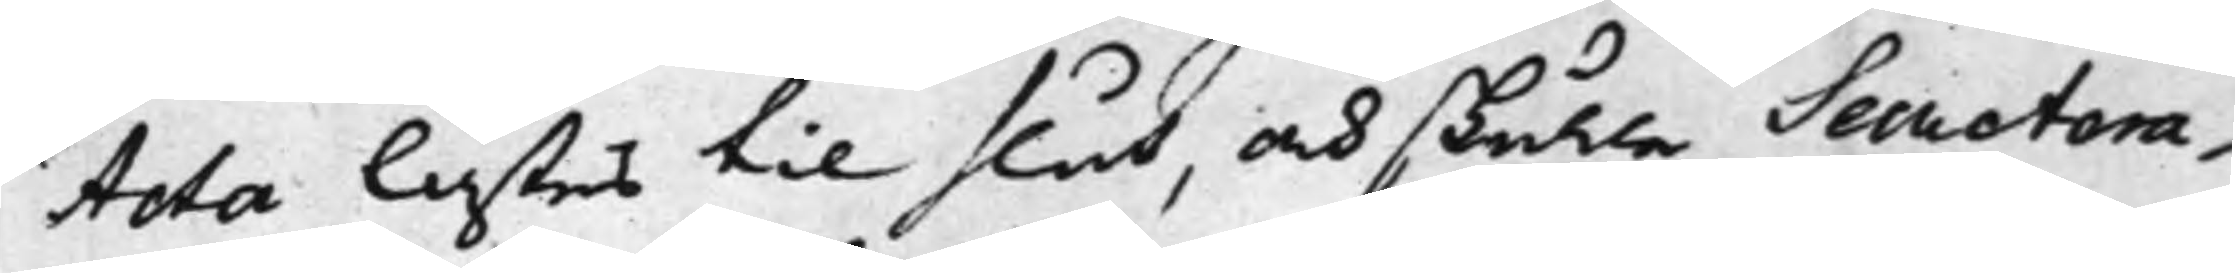Acta lästes til slut, och skulle Secretera¬
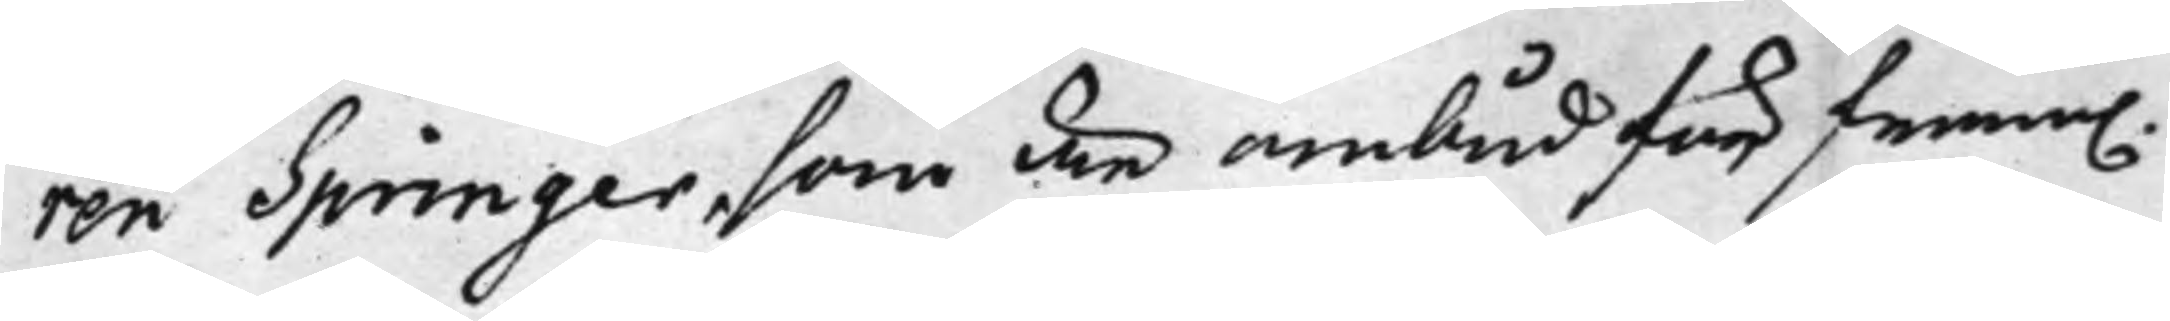ren Springer, som är ombud för fram.
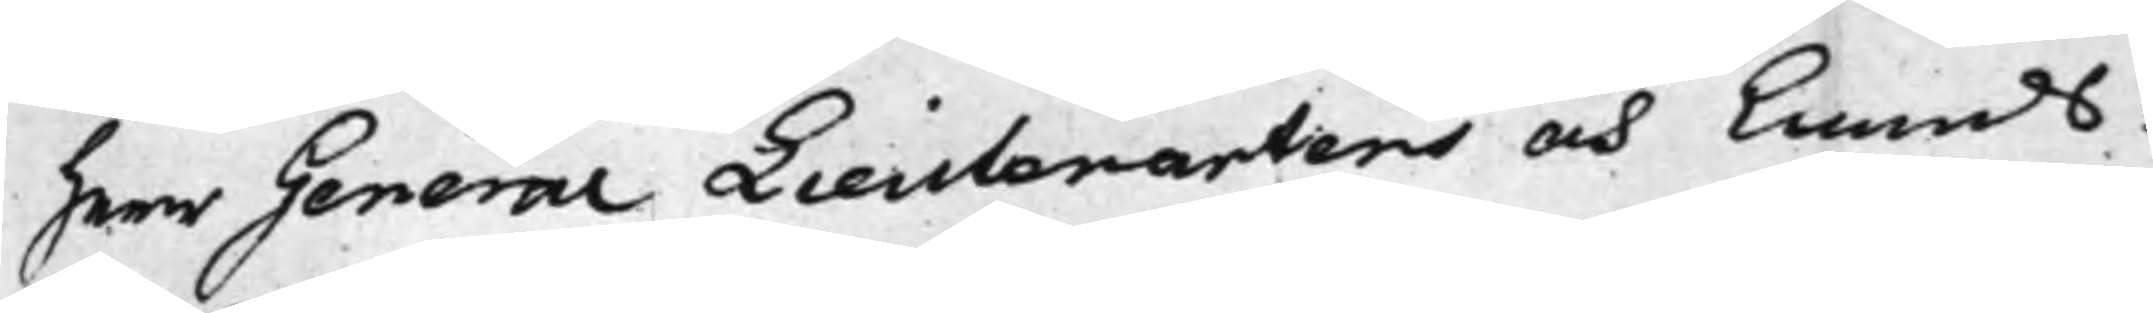Herr General Lieutenartens och Lands¬
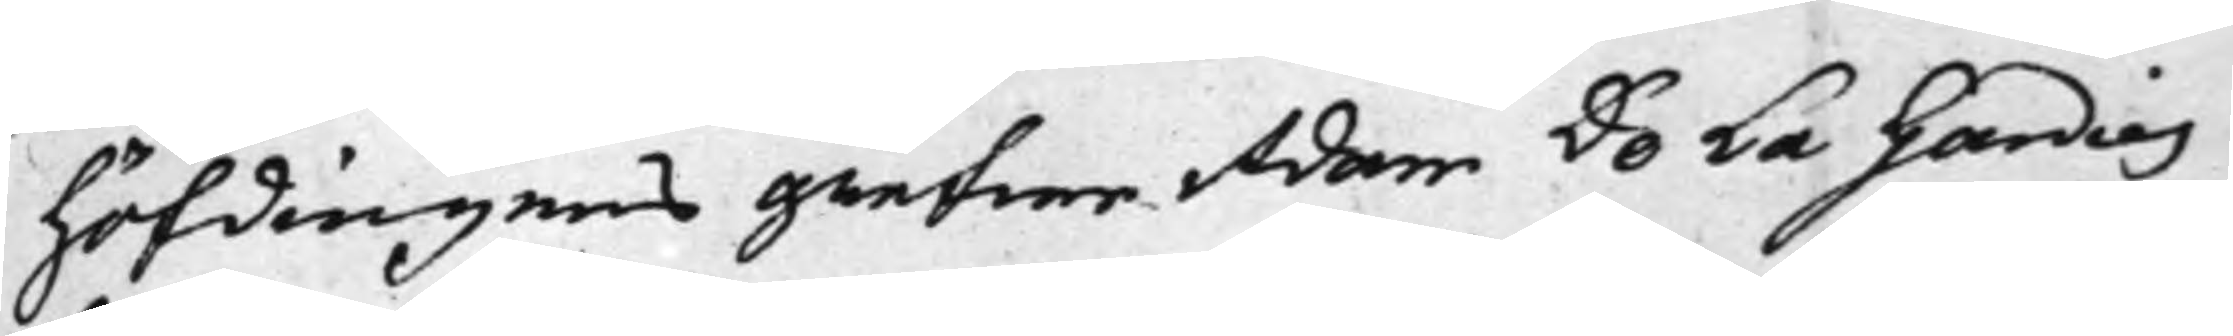höfdingens Grefwe Adam De La Gardies
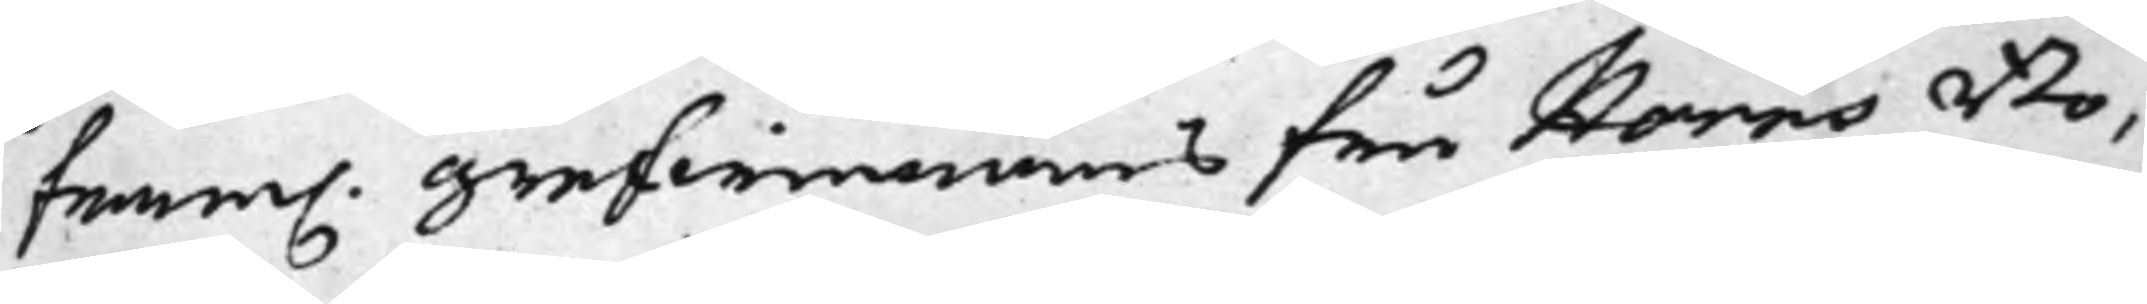Fram. Grefwinnans Fru Horns Bo,
